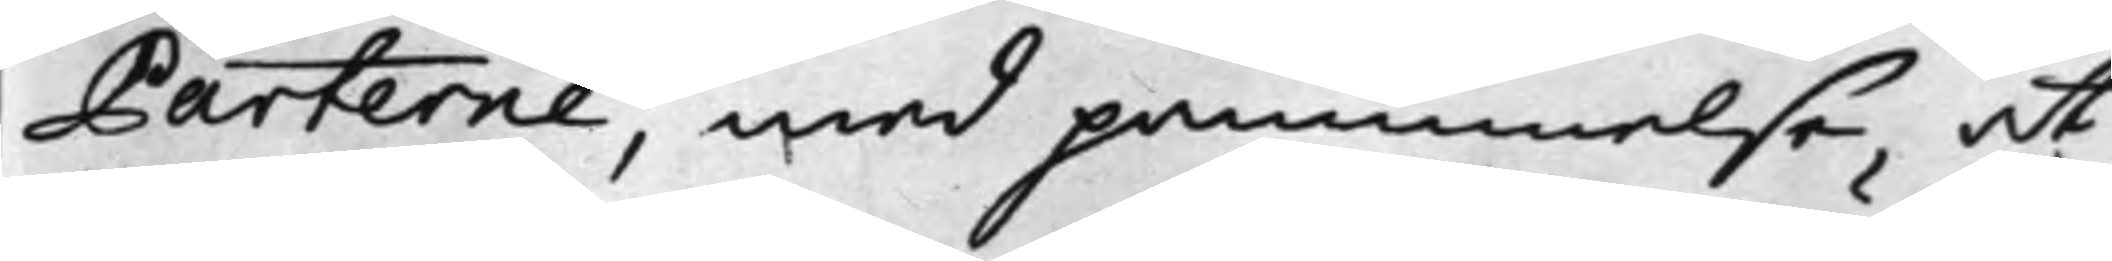Parterne, med påminnelse, at
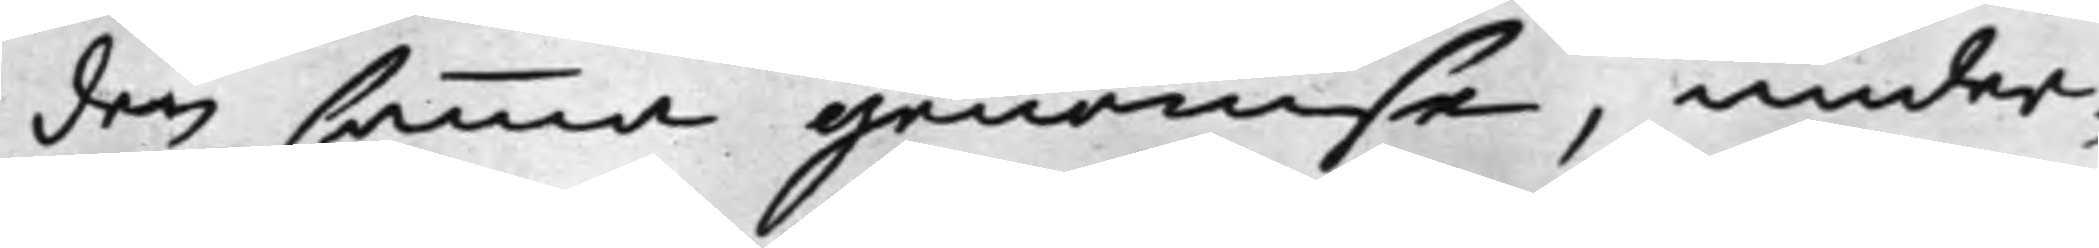den samma genomse, under¬
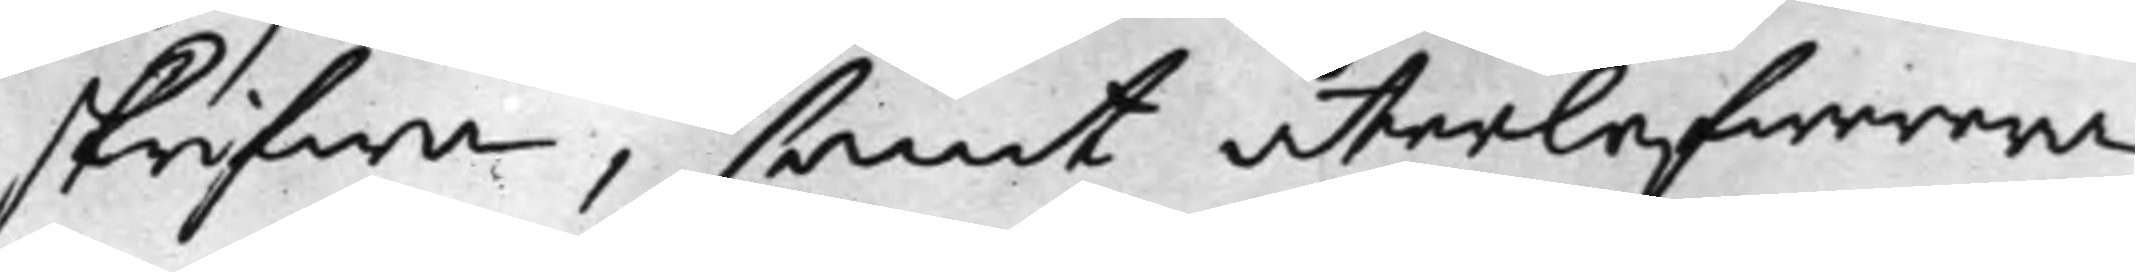skrifwa, samt återlefwerera,
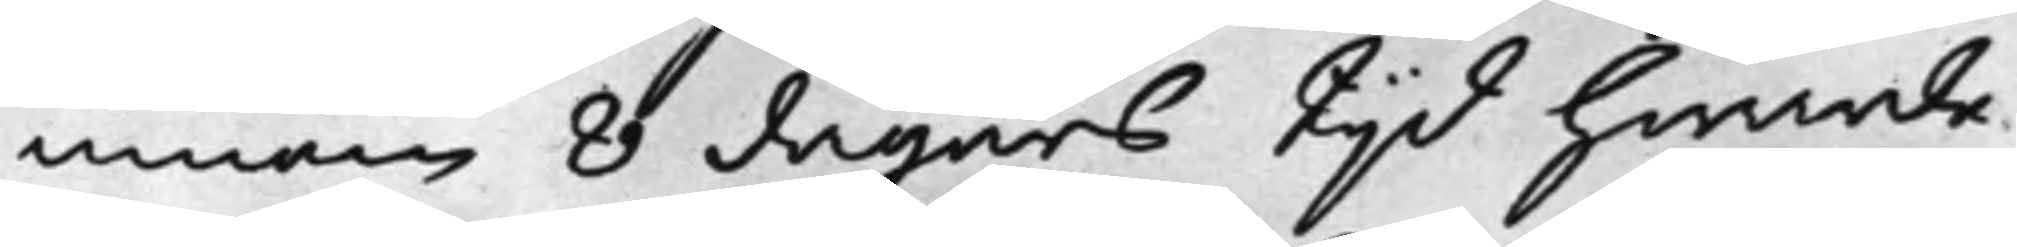innom 8 dagars tijd hwarde¬
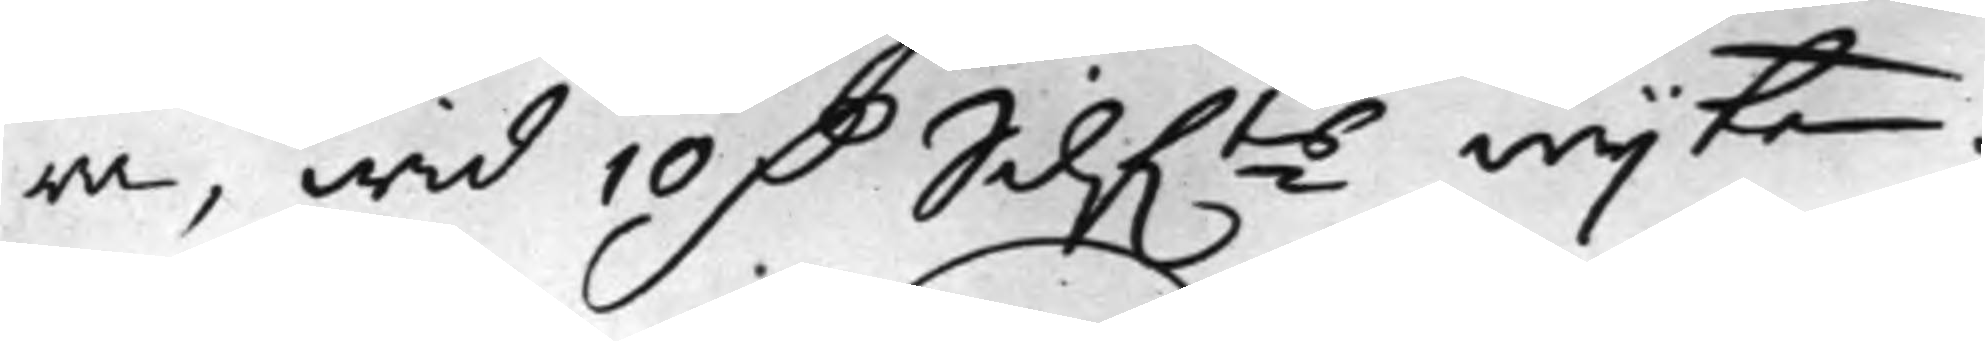ra, wid 10 D. Silf.ts wijte.
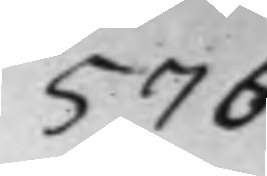576
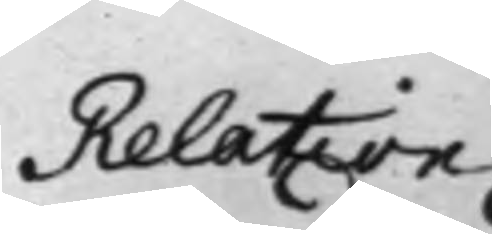Relation
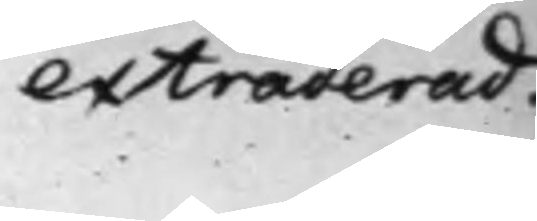extraderad.
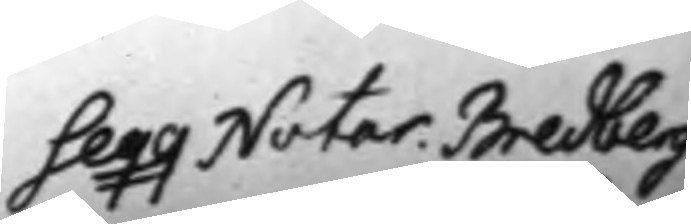Seqq Notar. Bredberg
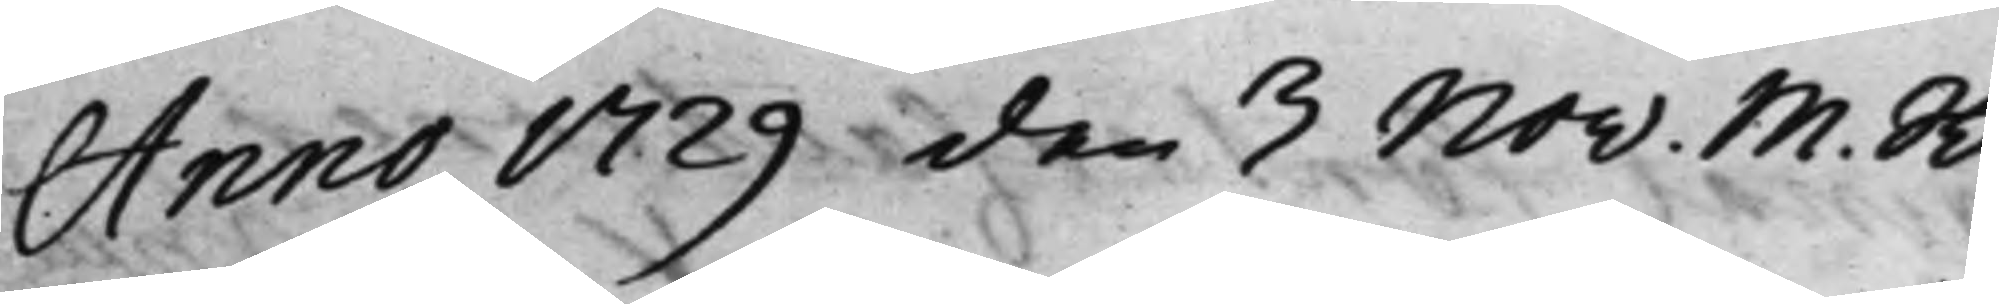Anno 1729 den 3 Nov. M: R: 
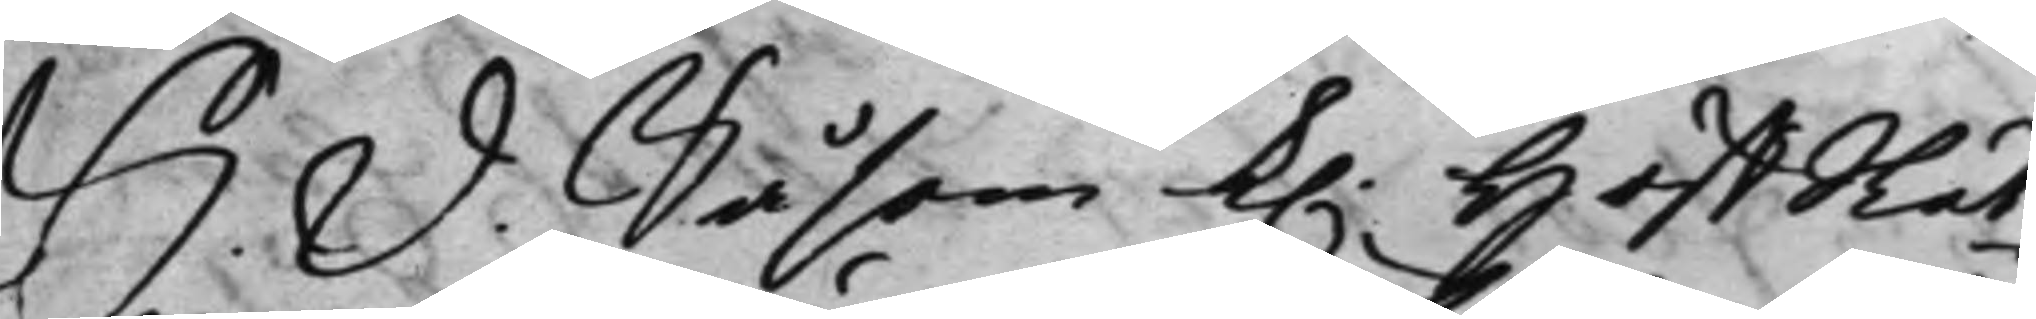S. D. Såsom K. HoffRät¬
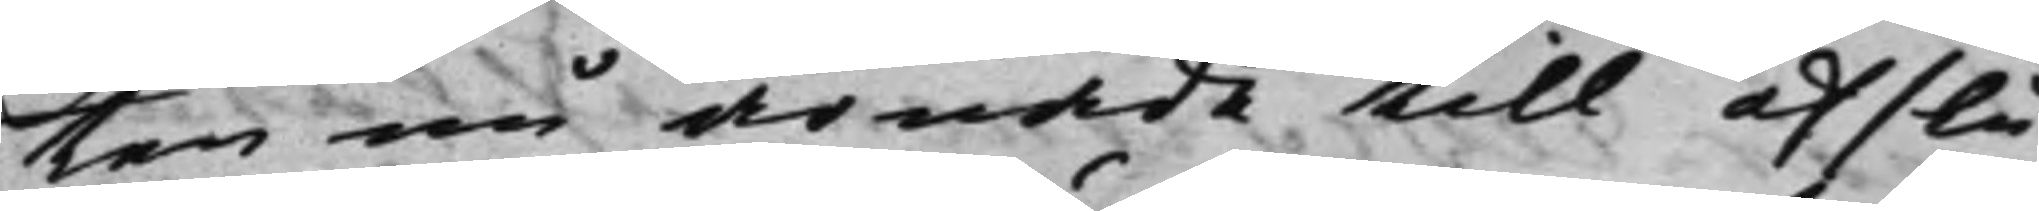ten nu ärnade till afslu¬
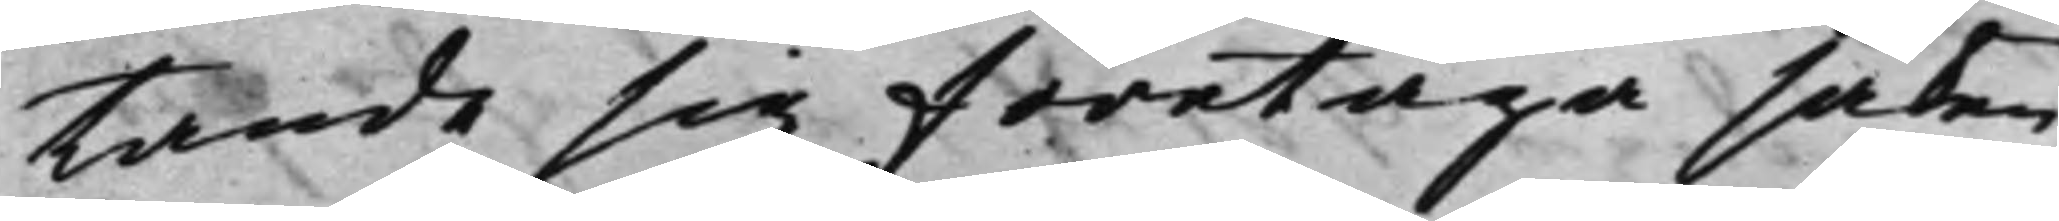tande sig företaga saken
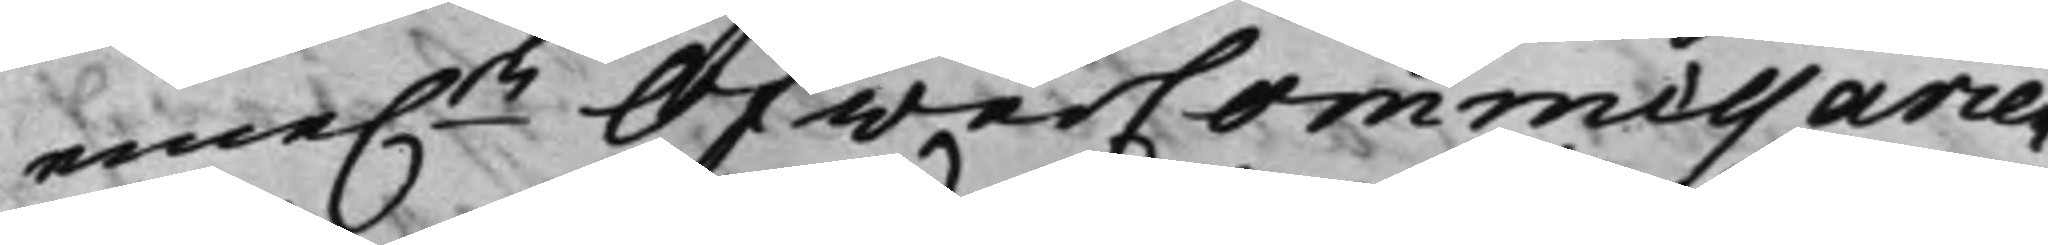eme.n ÖfwerCommissarien
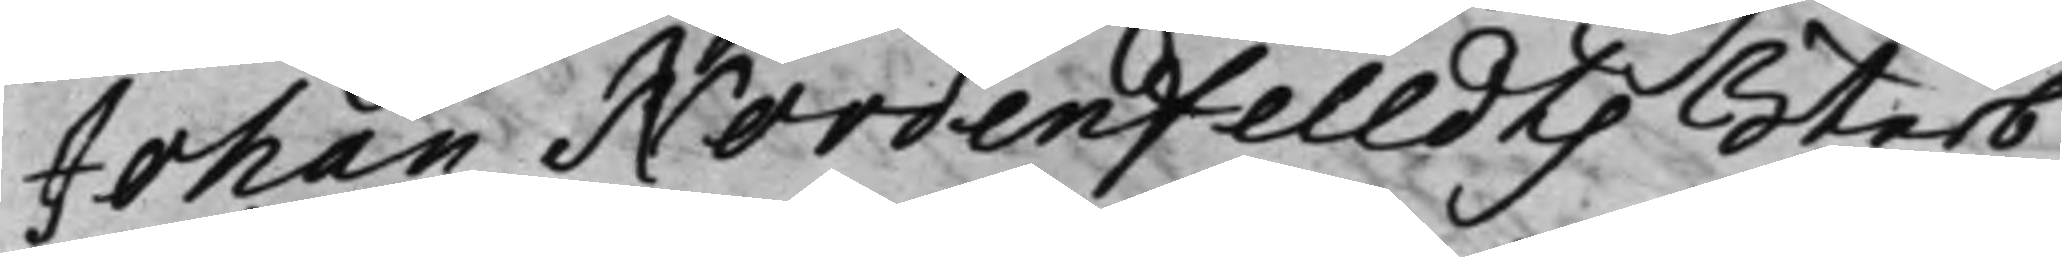Johan Nordenfelldts Sterb¬
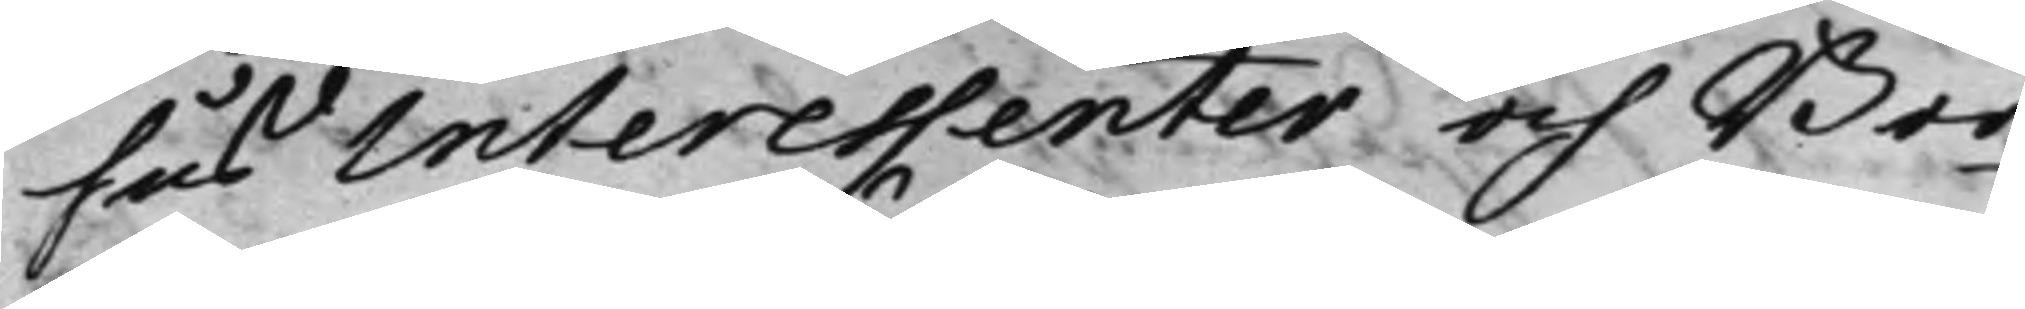hus Interessenter och Bor¬
